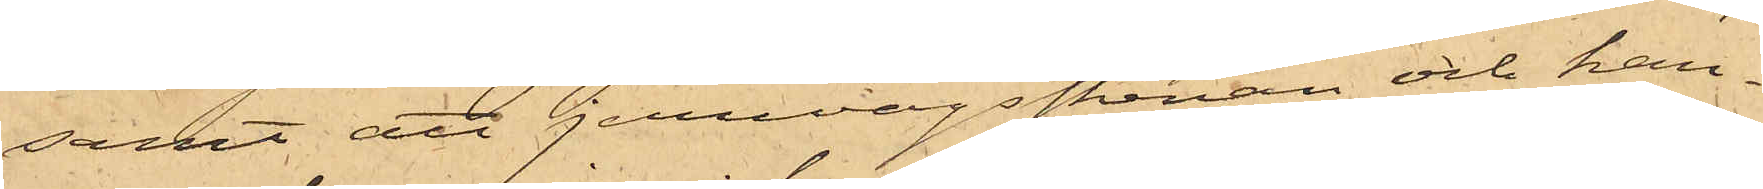samt att jernvägsskenan och kan¬
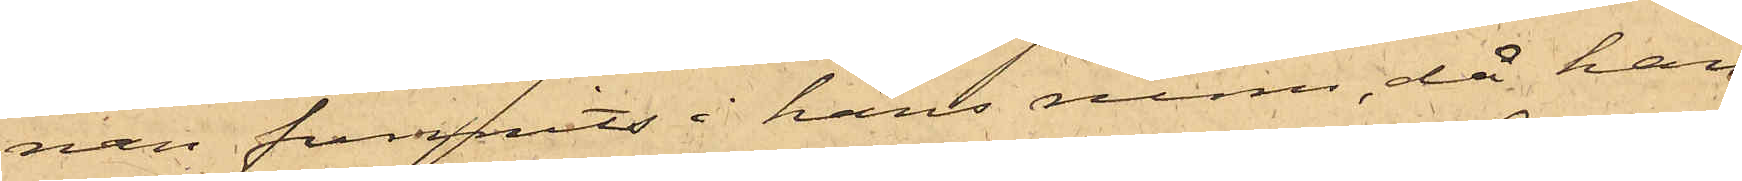nan funnits i hans rum, då han
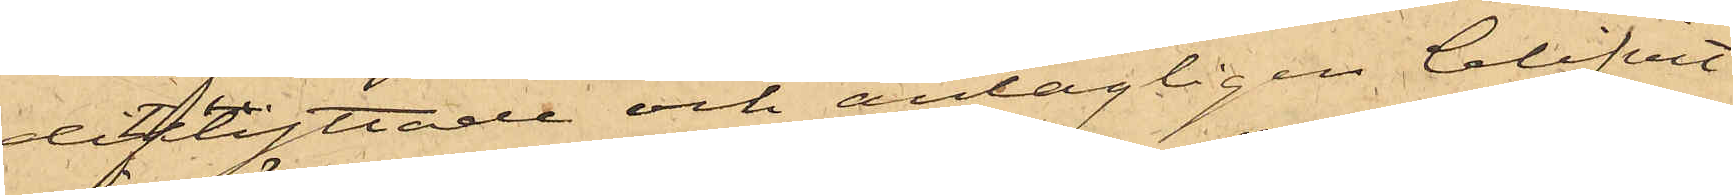ditflyttade och antagligen blifvit
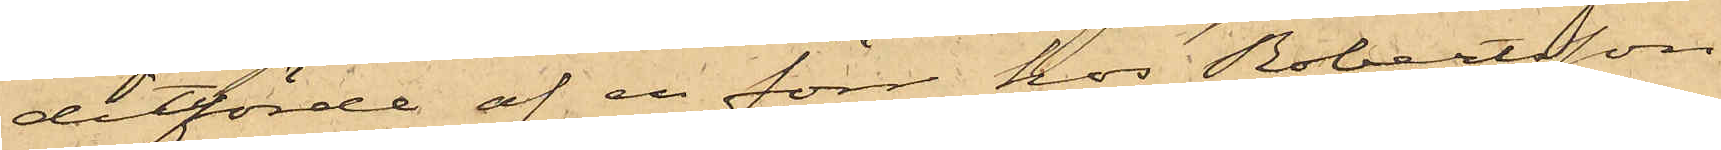ditförde af en förr hos Robertsson
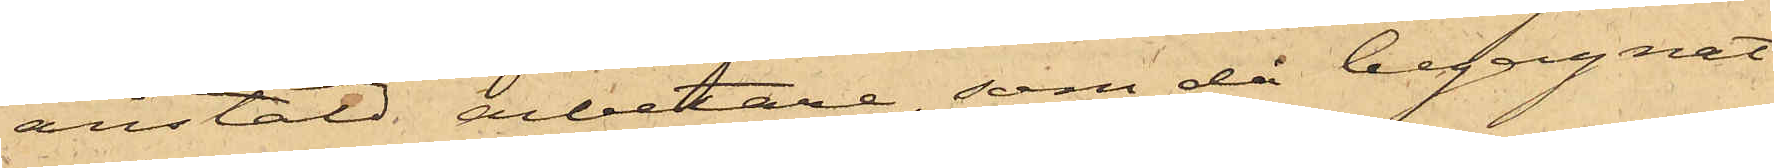anstäld arbetare, som då begagnat
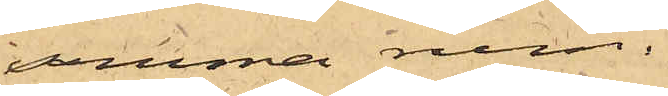samma rum.
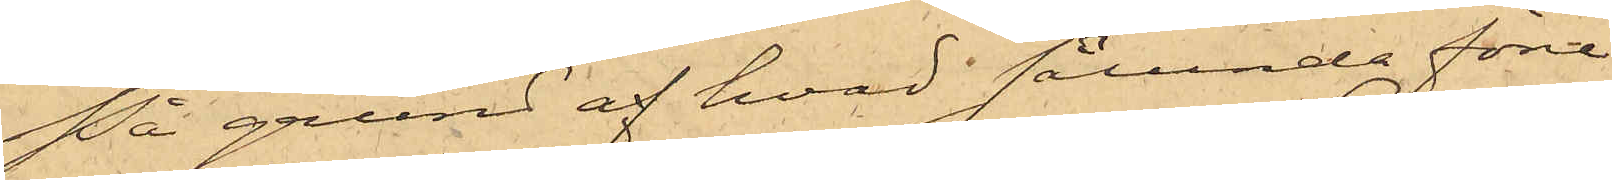På grund af hvad sålunda före¬
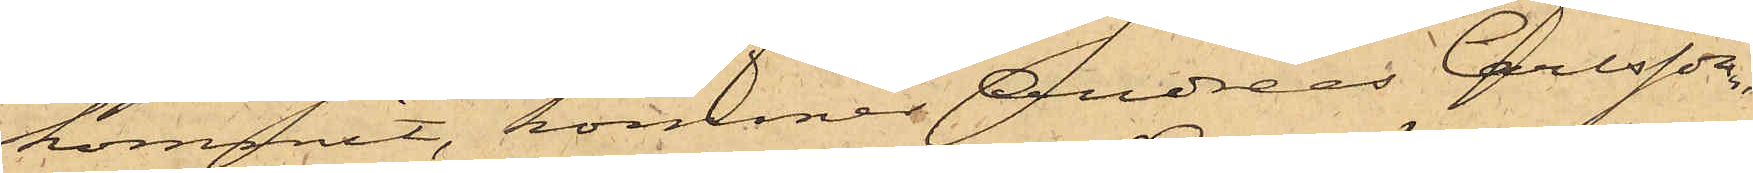kommit, kommer Andreas Carlsson,
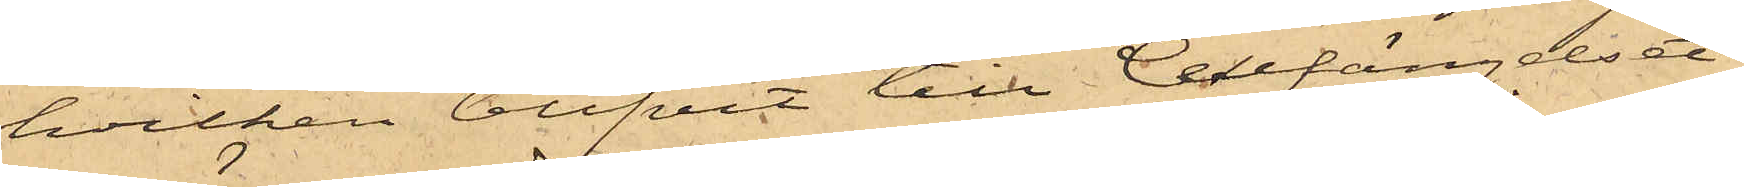hvilken blifvit till Cellfängelset
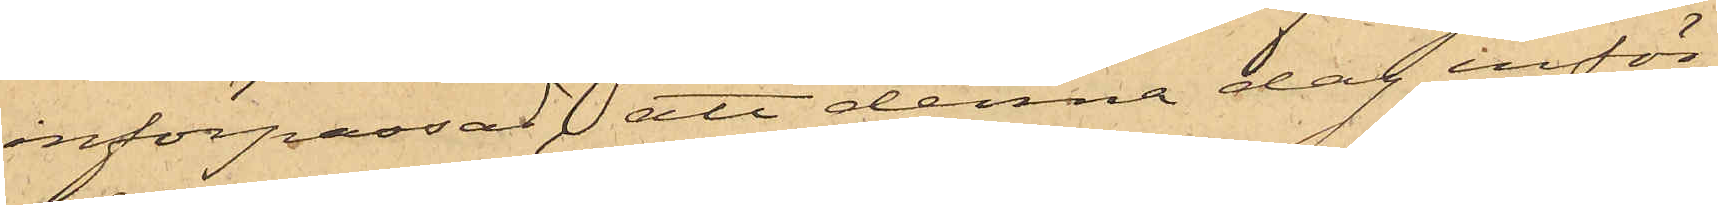införpassad, att denna dag inför
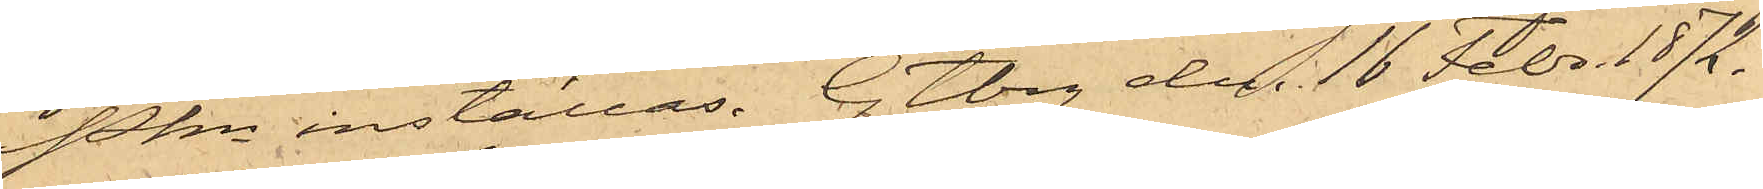Pkn inställas. Gtbrg den 16 Febr. 1872.
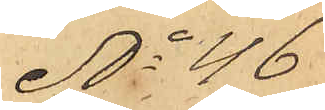No 46
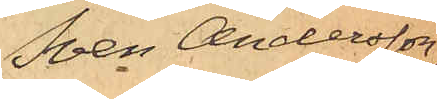Sven Andersson,
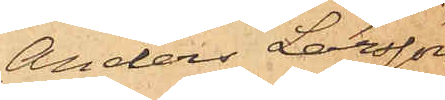Anders Larsson
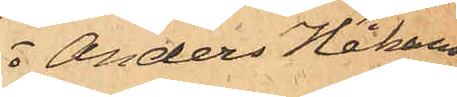o Anders Håkans¬
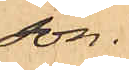son.
